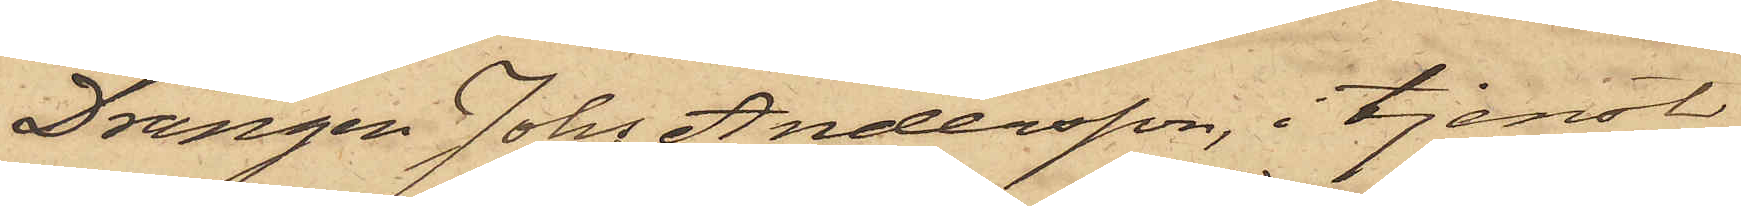Drängen Johs Andersson, i tjenst
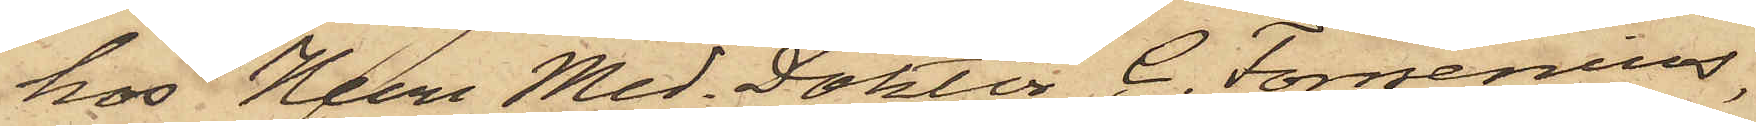hos Herr Med. Doktor C. Forsenius,
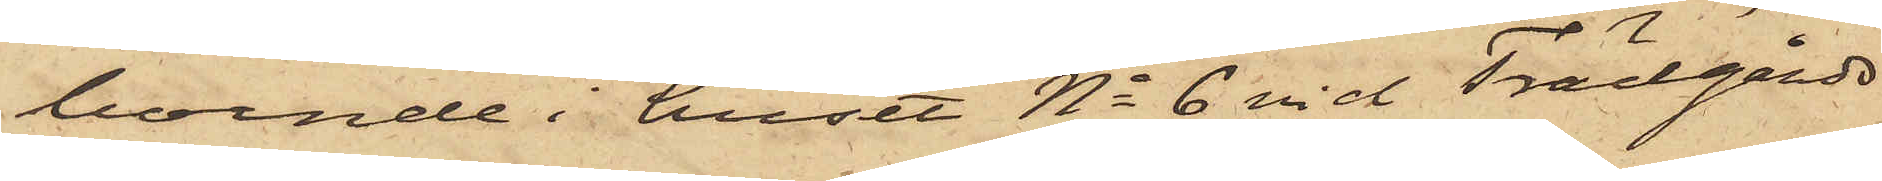boende i huset No 6 vid Trädgårds¬
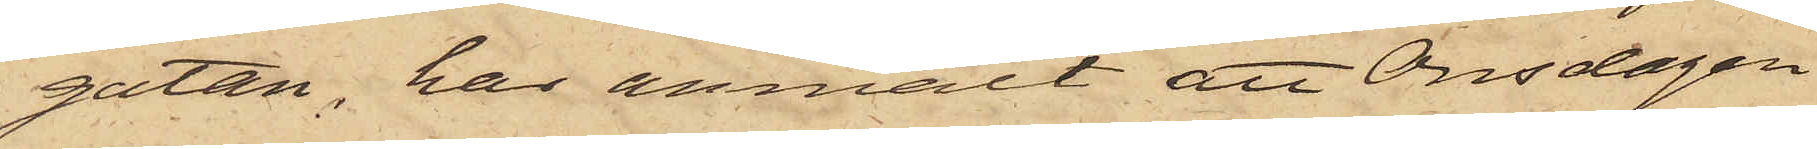gatan, har anmält att Onsdagen
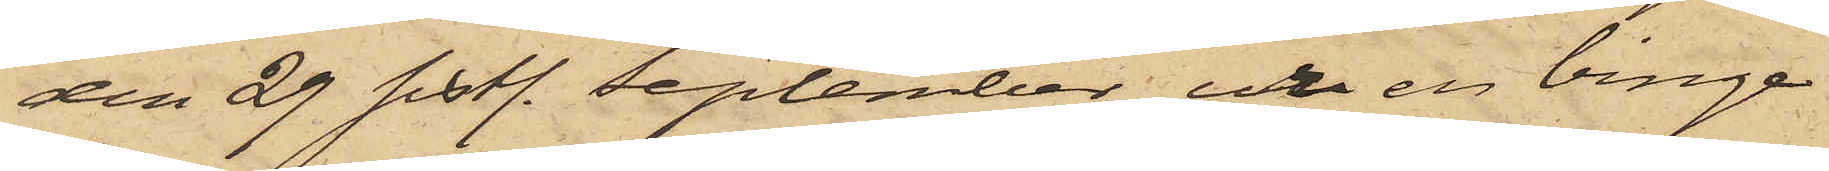den 29 sistl. September ur en binge
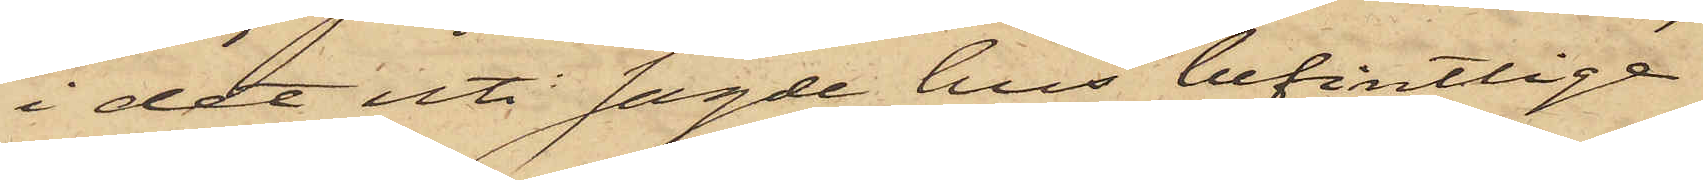i det uti sagde hus befintlige
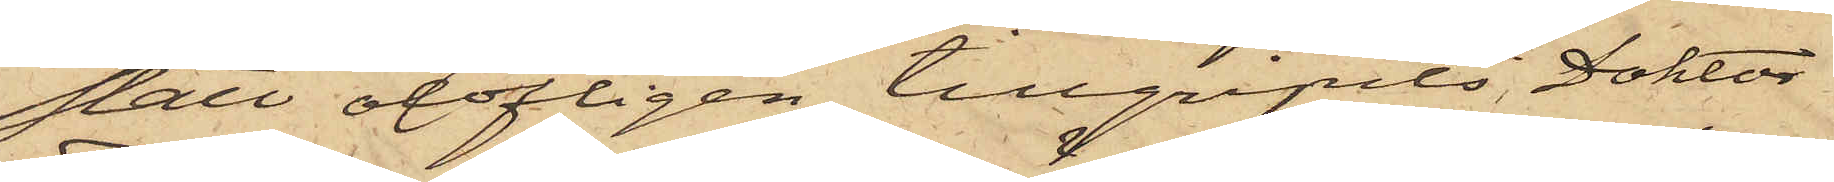stall olofligen tillgripits Doktor
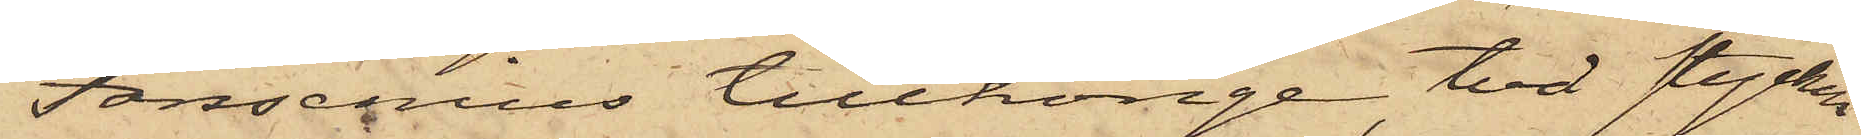Forsenius tillhörige, två stycken
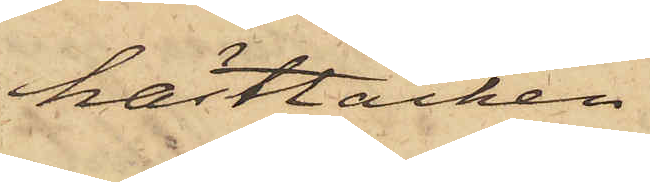hästtäcken,
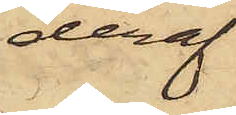deraf
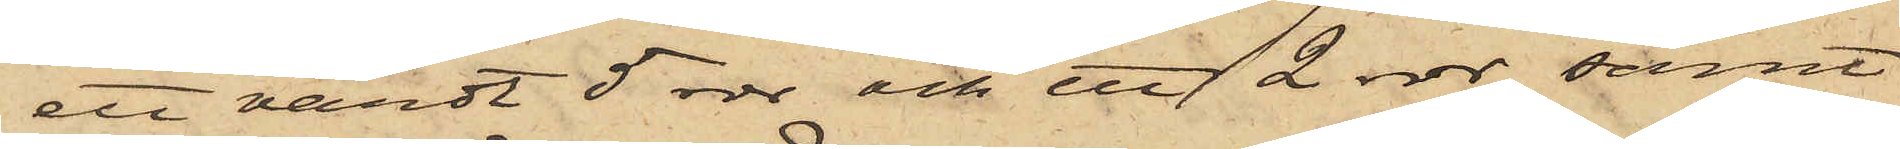ett värdt 5 rdr och ett 2 rdr samt
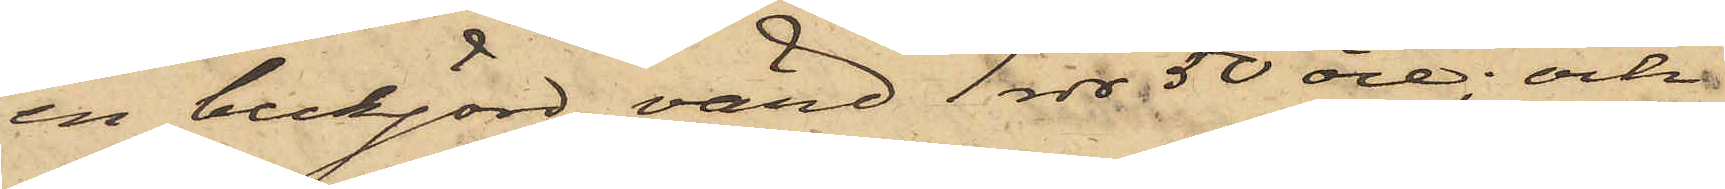en bukjord, värd 1 rdr 50 öre; och
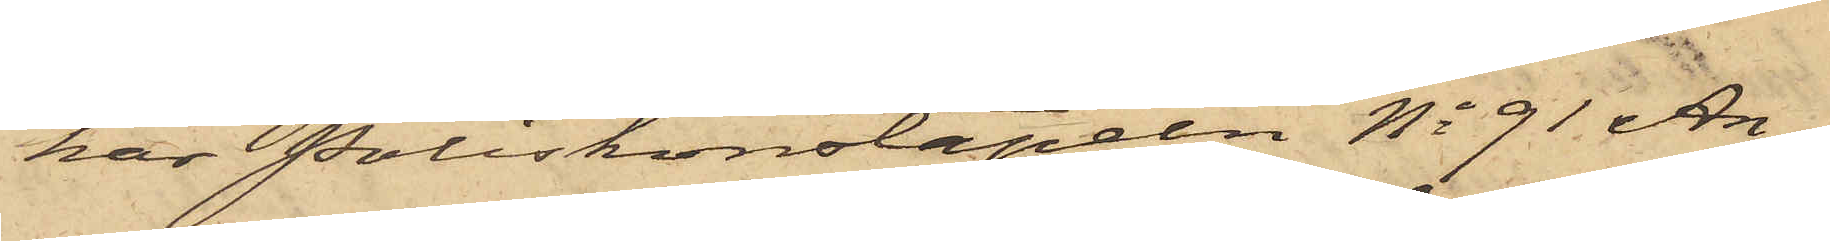har Poliskonstapeln No 91 An¬
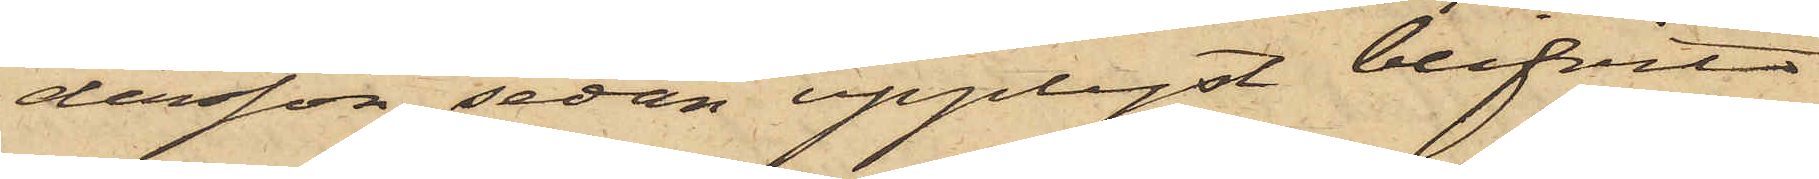dersson, sedan upplyst blifvit
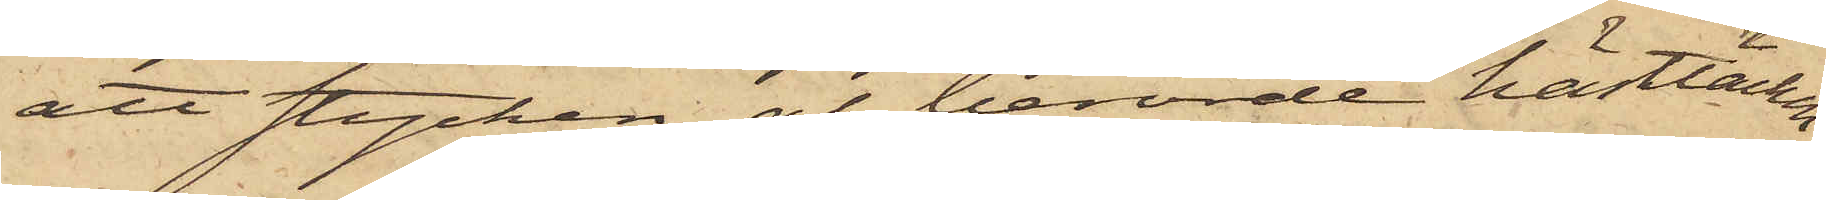att stycken af berörde hästtäcken
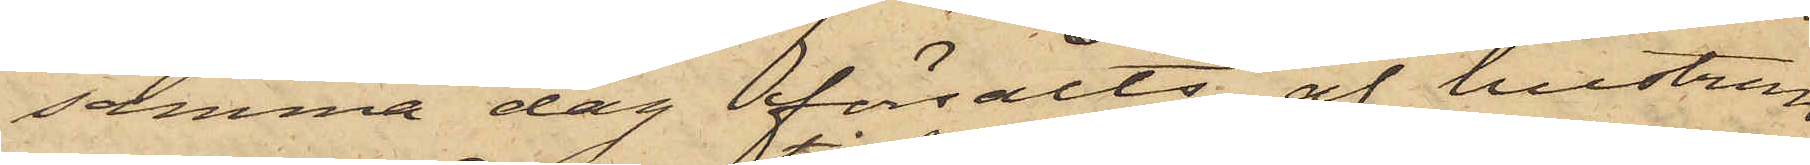samma dag försålts af hustrun
